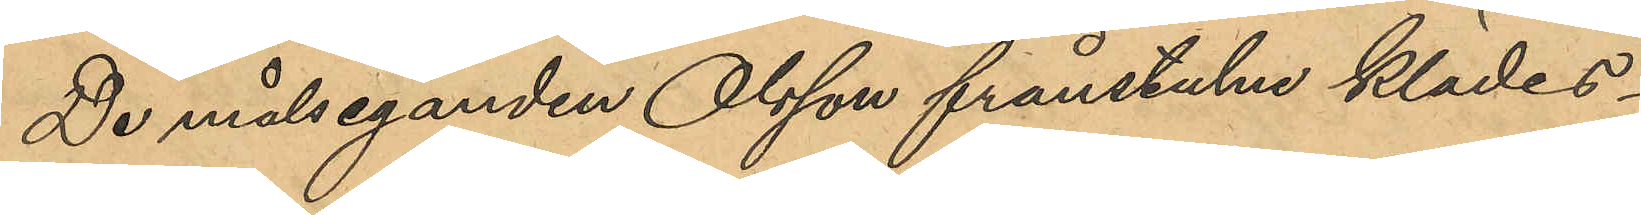De målseganden Olsson frånstulne klädes¬
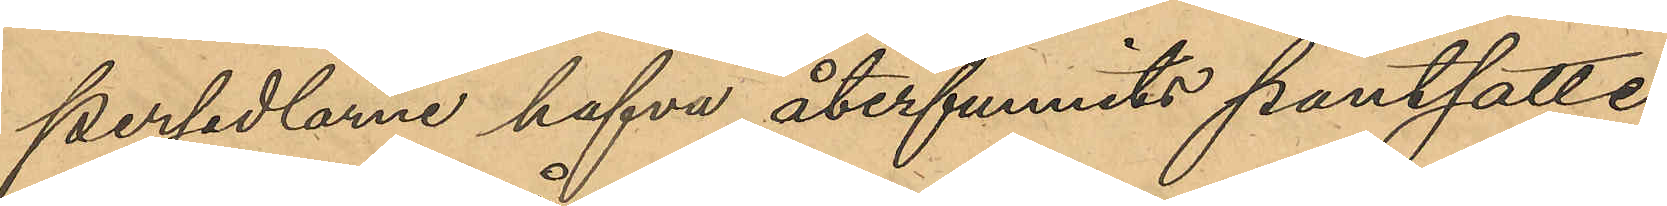persedlarne hafva återfunnits pantsatte
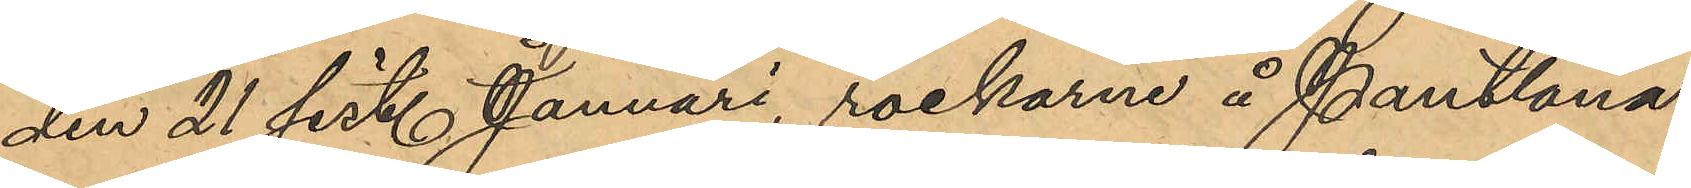den 21 sist. Januari, rockarne å Pantlåna¬
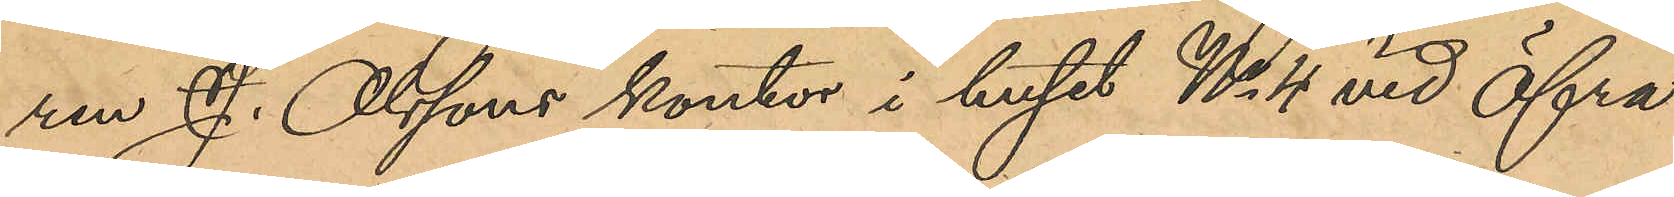ren J. Olssons kontor i huset No 4 vid Öfra
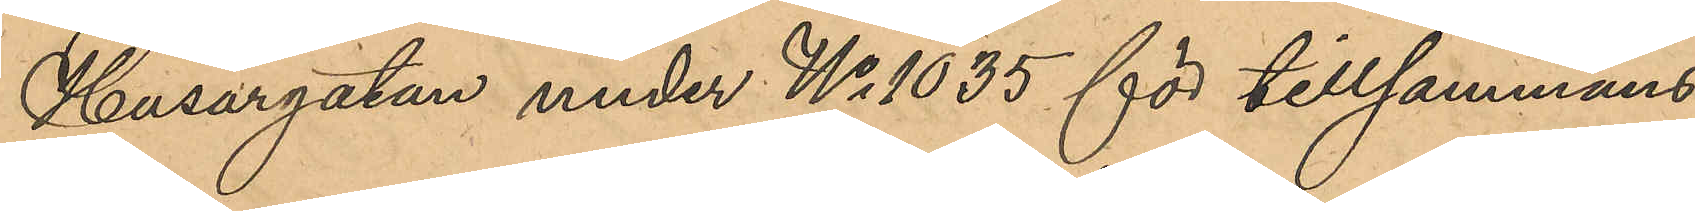Husargatan under No 1035 för tillsammans
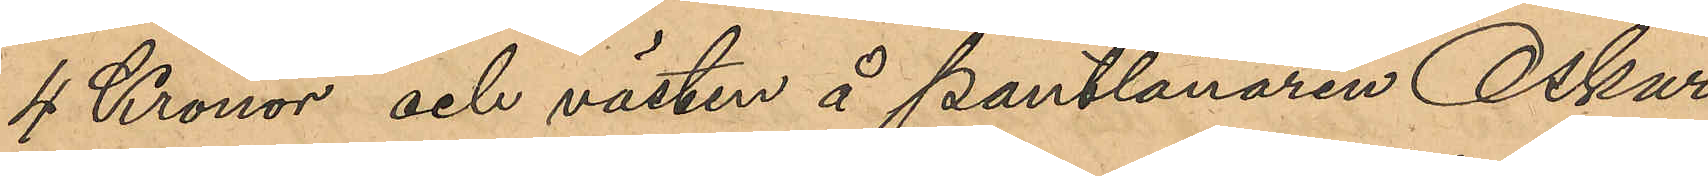4 Kronor och västen å Pantlånaren Oskar
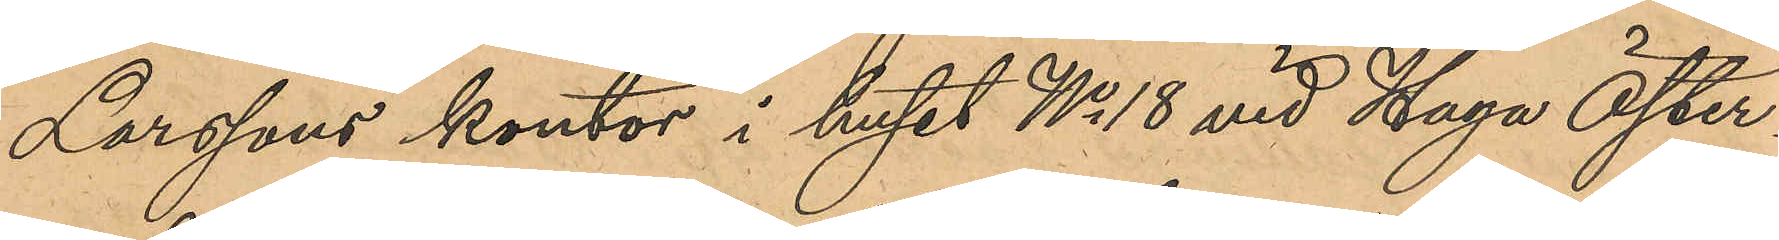Larssons kontor i huset No 18 vid Haga Öster¬
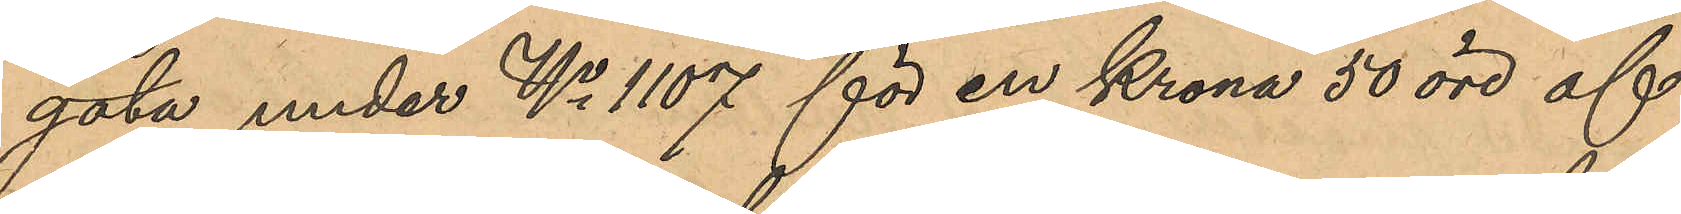gata under No 1107 för en krona 50 öre af
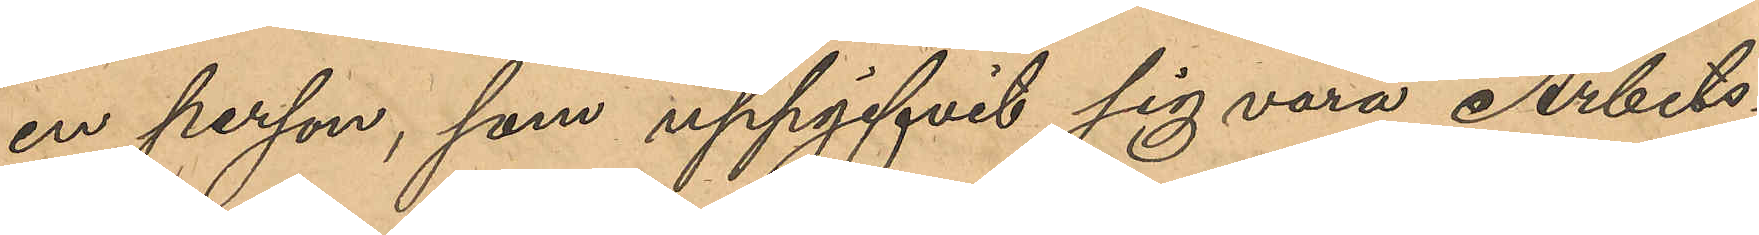en person, som uppgifvit sig vara Arbets¬
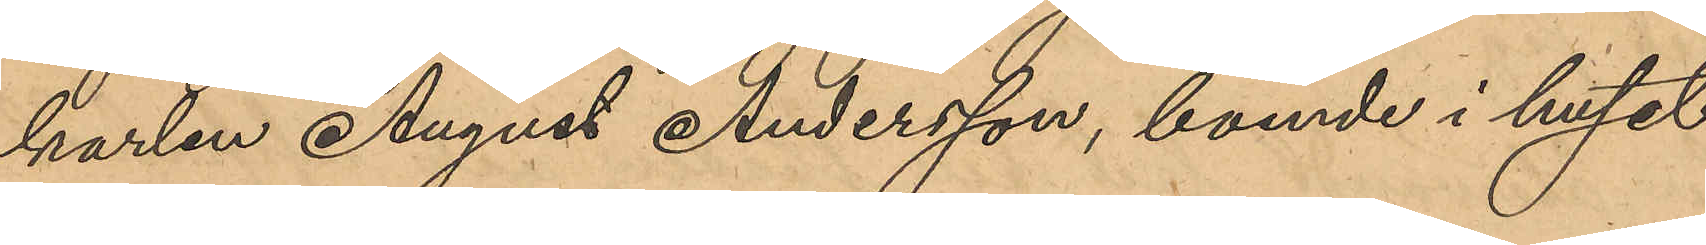karlen August Andersson, boende i huset
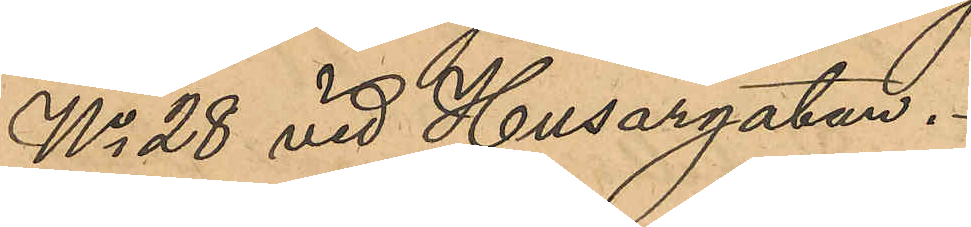No 28 vid Husargatan.
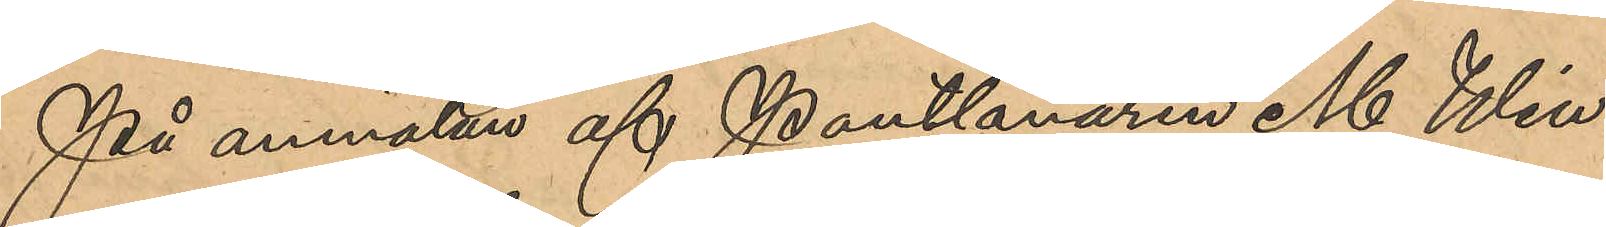På anmälan af Pantlånaren M. Win¬
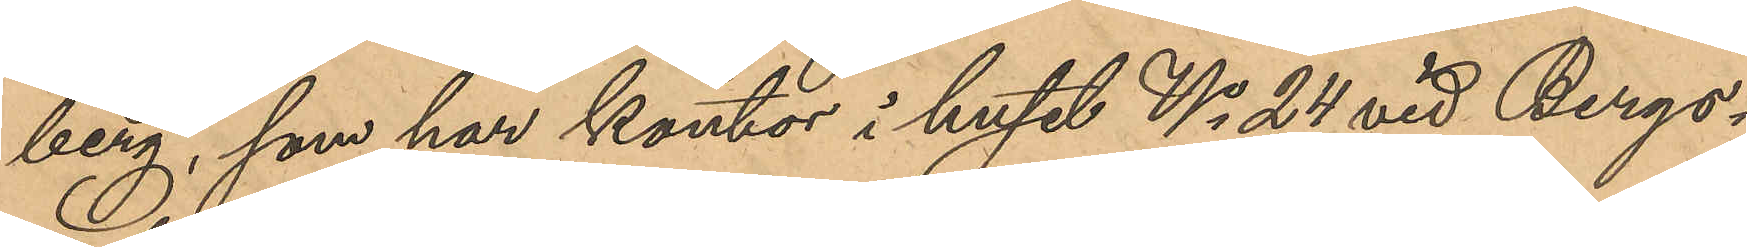berg, som har kontor i huset No 24 vid Bergs¬
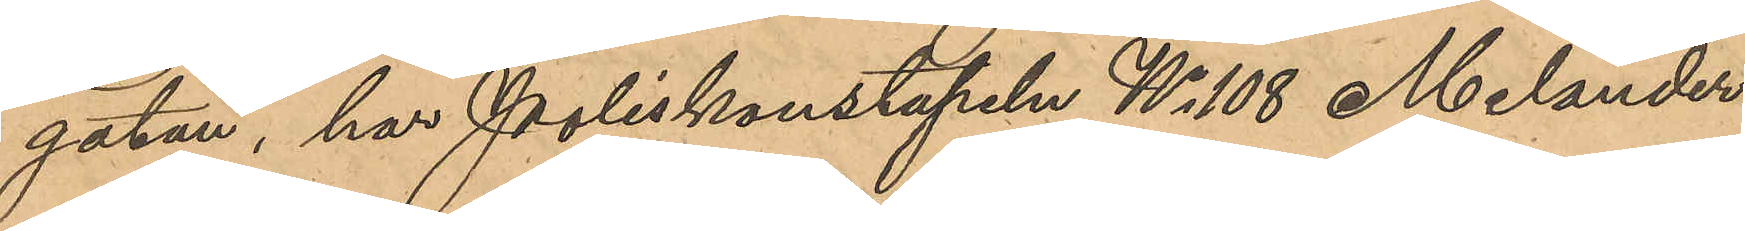gatan, har Poliskonstapeln No 108 Melander
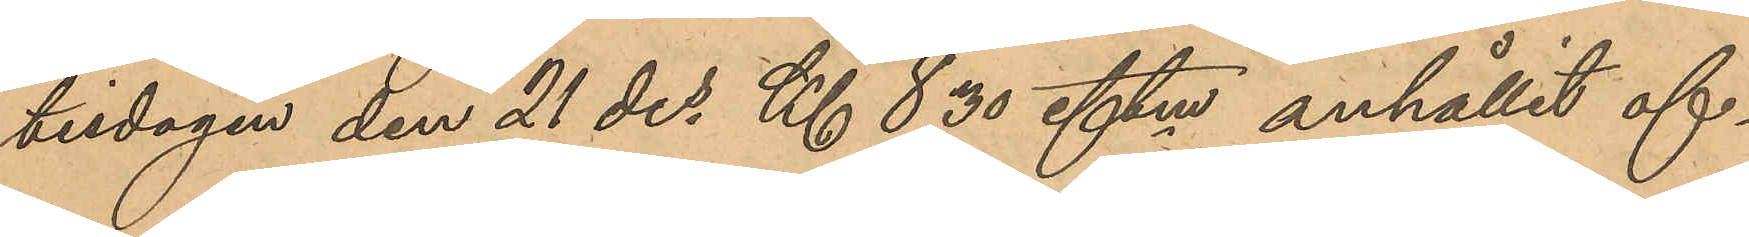                                                                                                                                                                  tisdagen den 21 des   Kl 8,30 eftm anhållit of¬                                                                                                                                                                                                                                                                                                                                                                                                                                                                                                                                                                                                                                                                                   
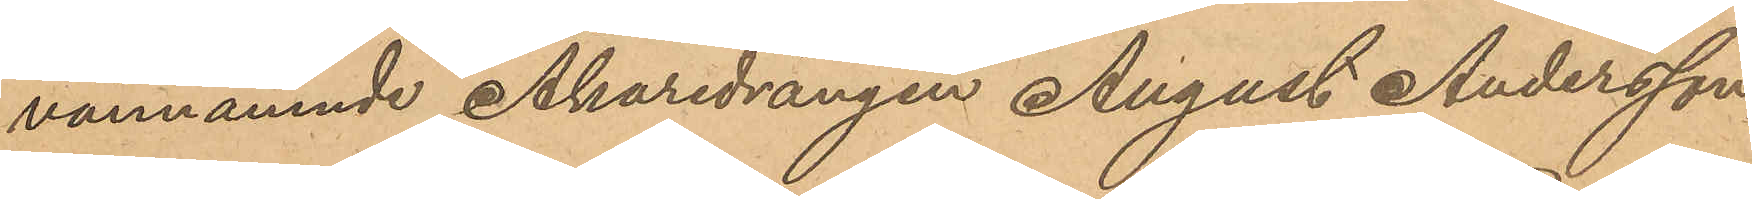vannämnde Åkaredrängen August Andersson
